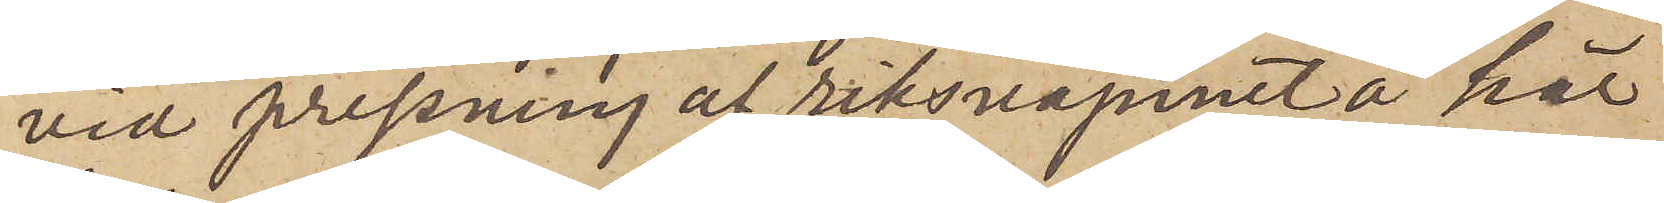vid pressning af riksvapnet å här
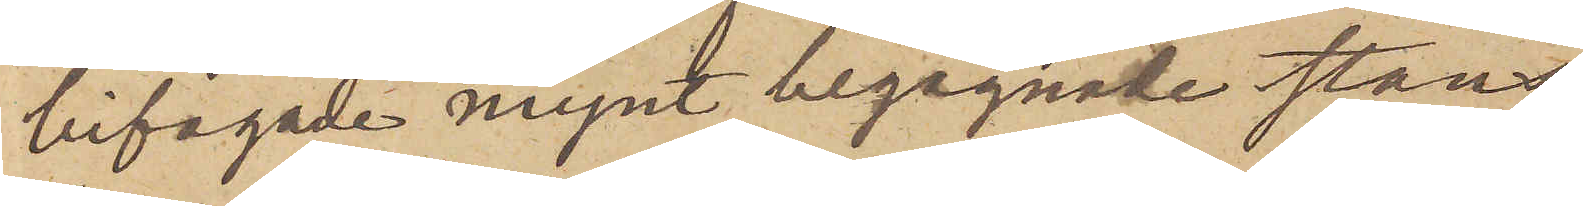bifogade mynt begagnade stans
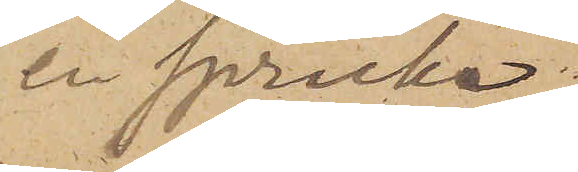en spricka,
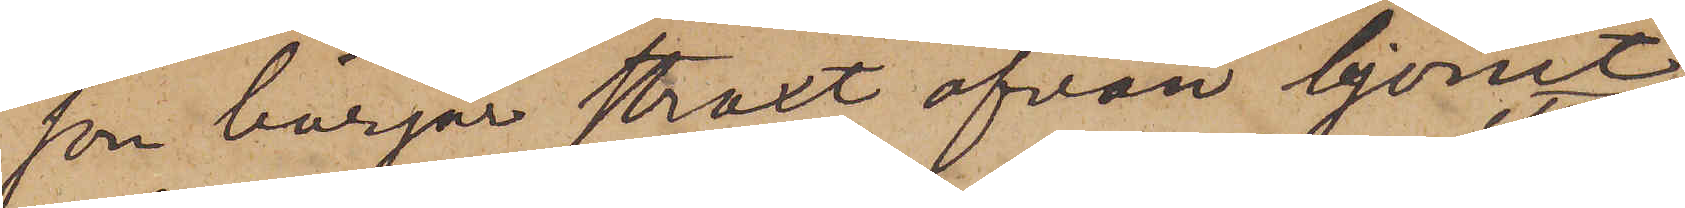som börjar straxt ofvan lejonet
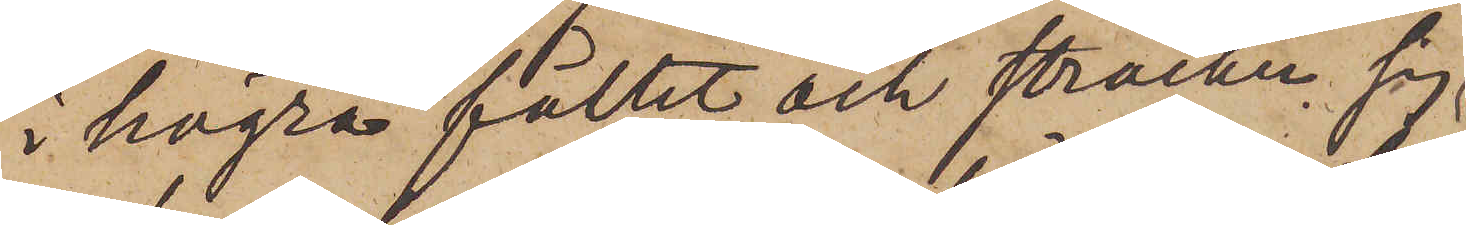i högra fältet och sträcker sig
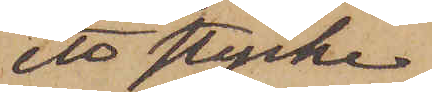ett stycke
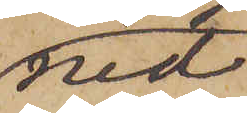ned
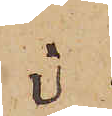i
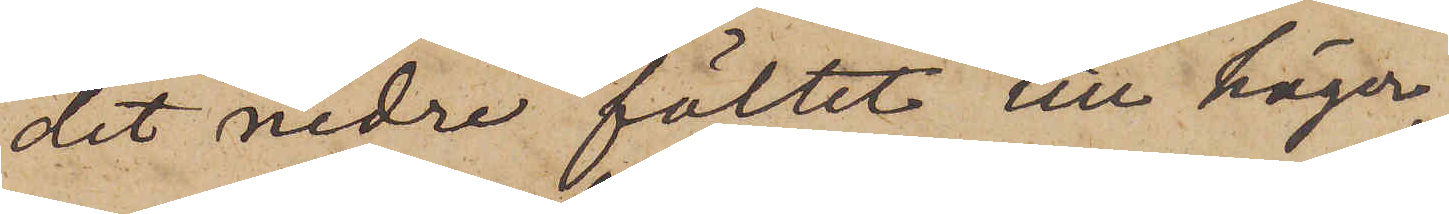det nedre fältet till höger,
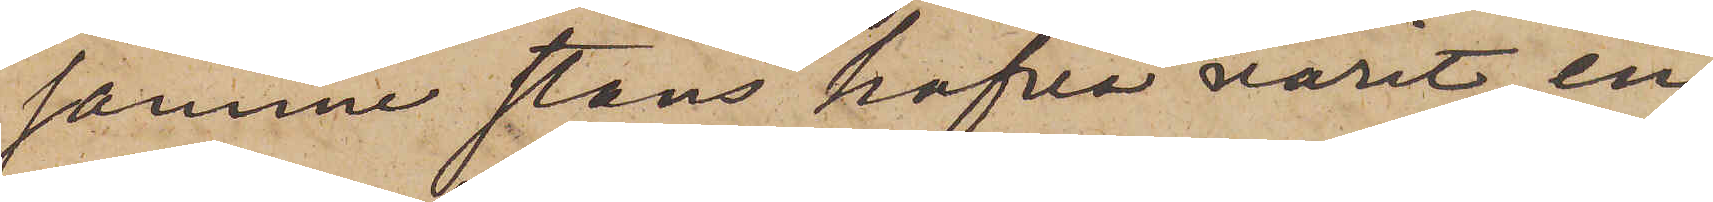samme stans hafva varit en
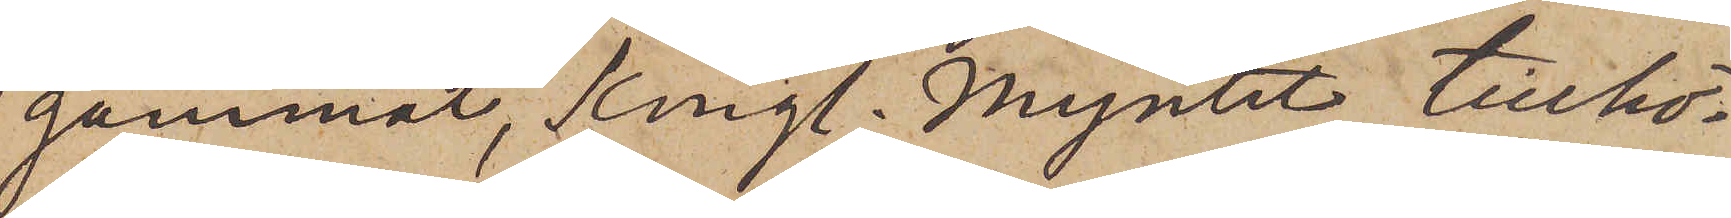gammal, Kungl. Myntet tillhö¬
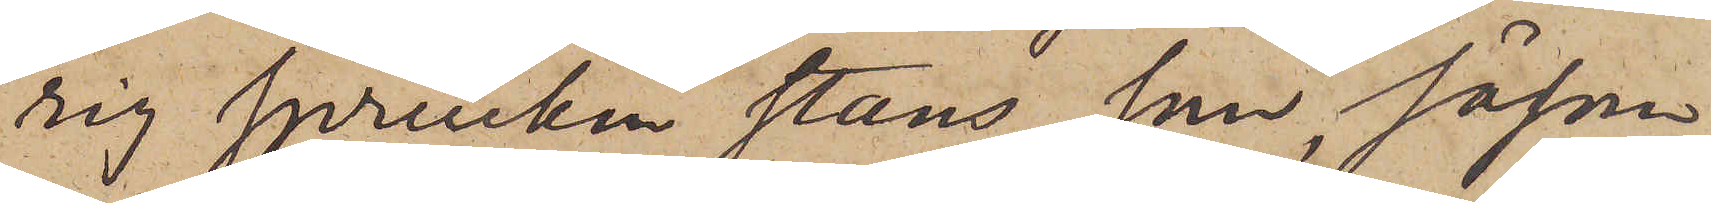rig sprucken stans, som, såsom
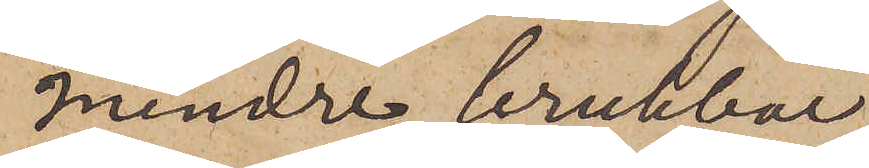mindre brukbar,
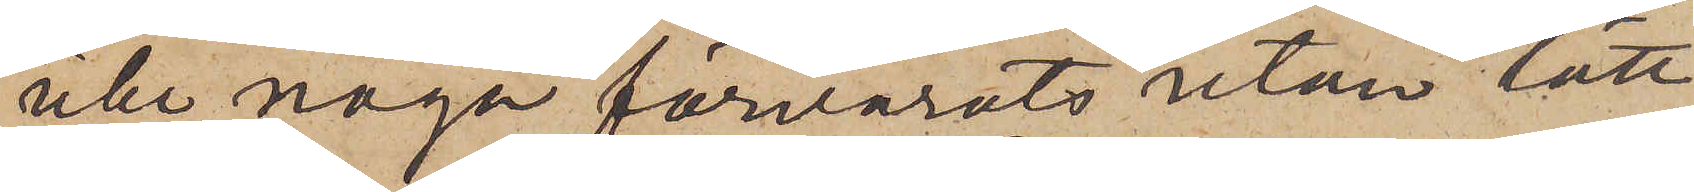icke noga förvarats utan lätt
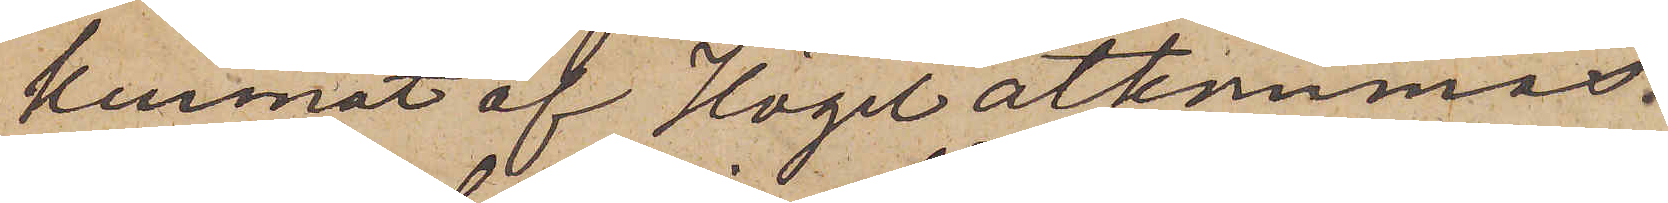kunnat af Högel åtkommas.
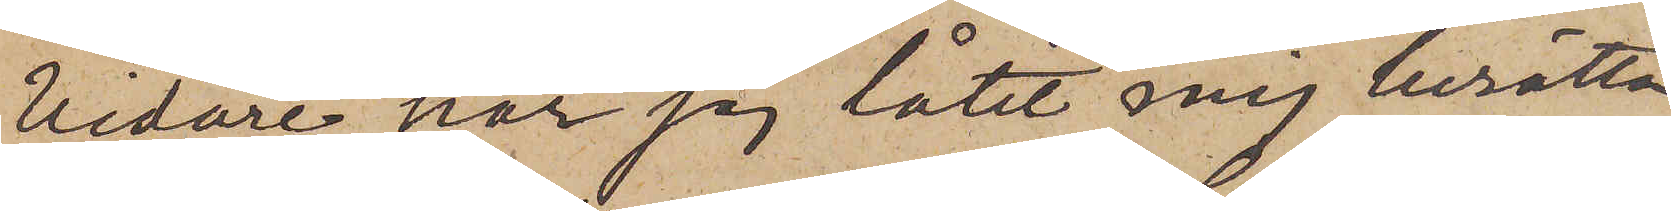Vidare har jag låtit mig berättas
